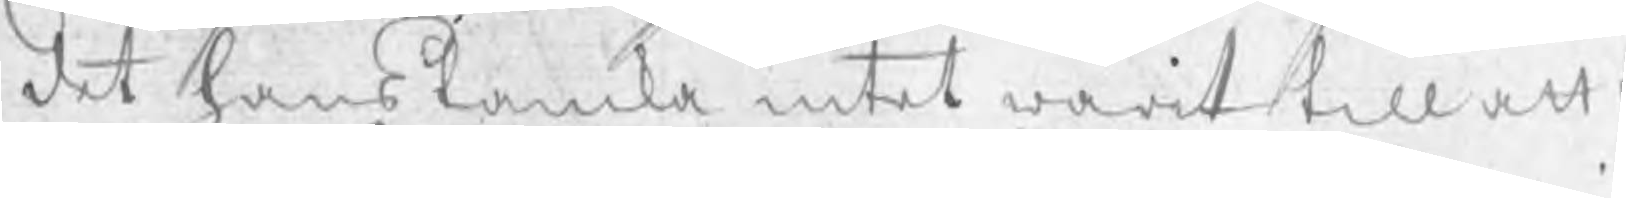det hans tanka intet warit till att t
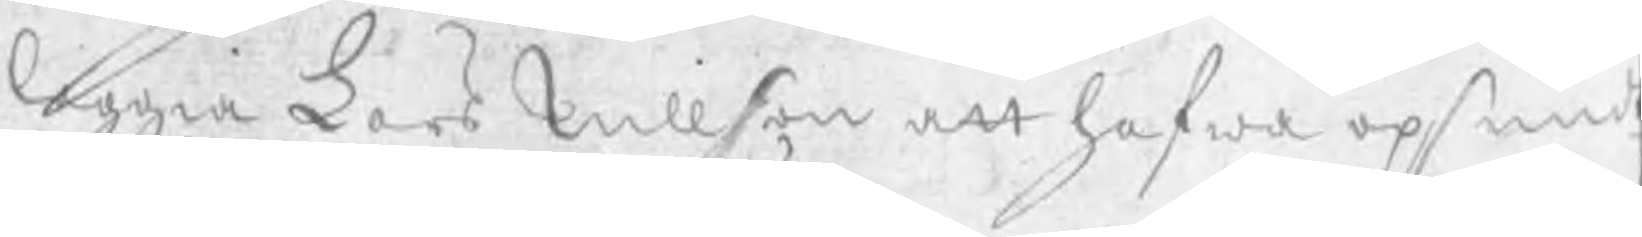leggia Lars Nillson att hafwa opsmidt
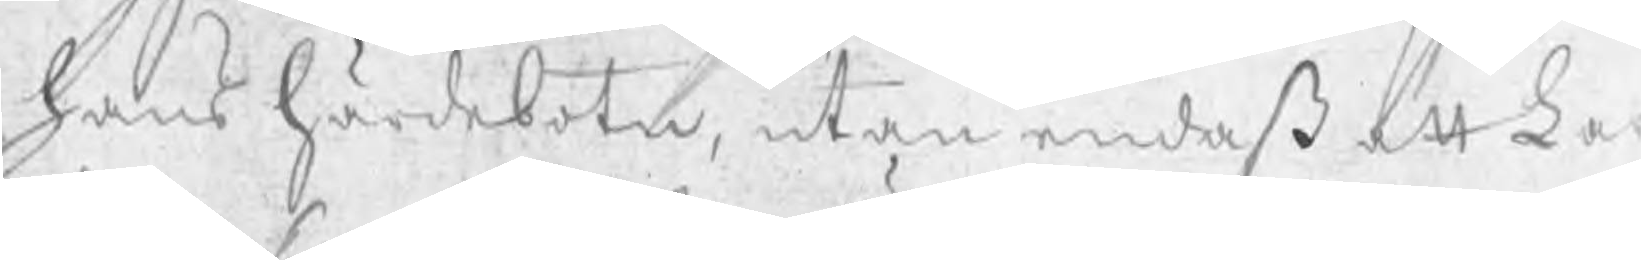hans härdebotn, utan endast att Lar
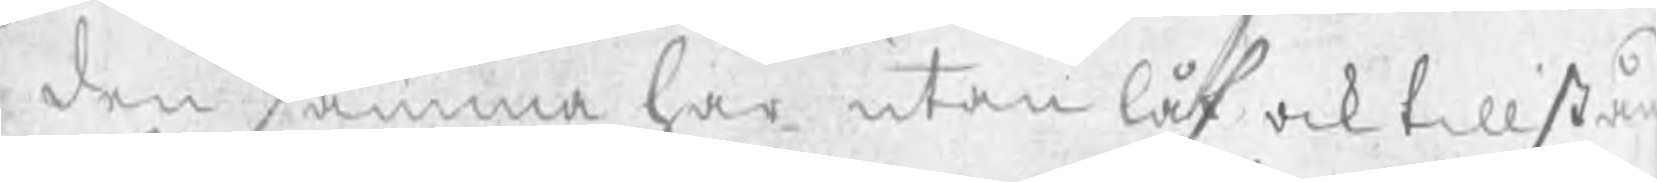den samma har utan låf ock tillstå
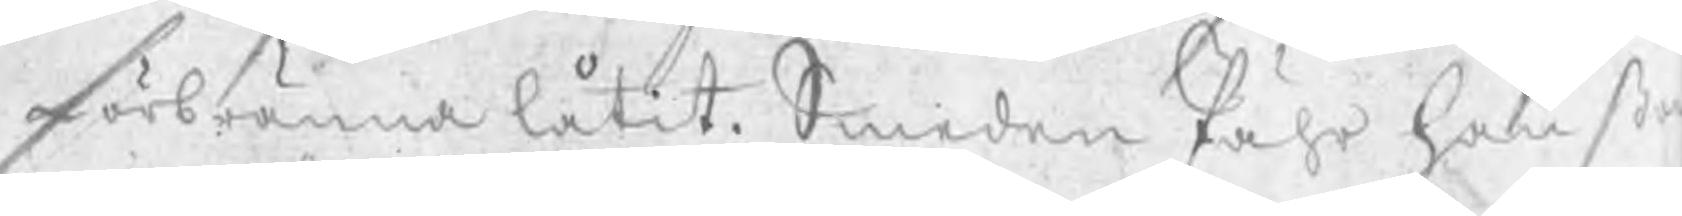förbränna låtit. Smeden Pähr Hanßo
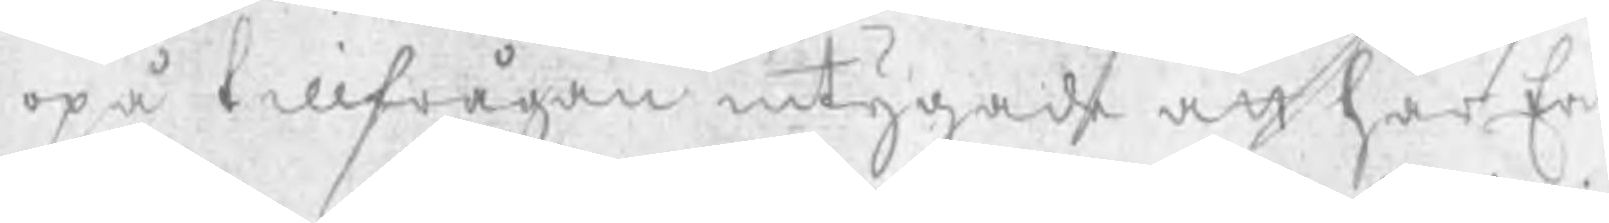opå tillfrågan intygade att har Eri
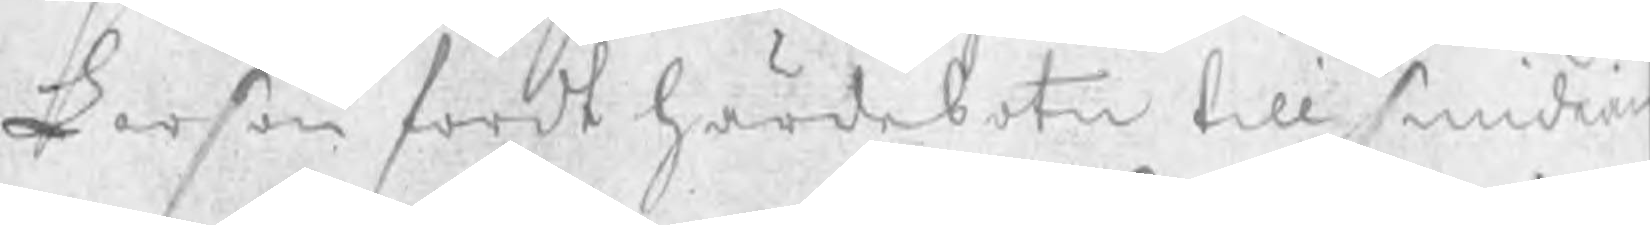Larßon fördt härdebotn till smidian
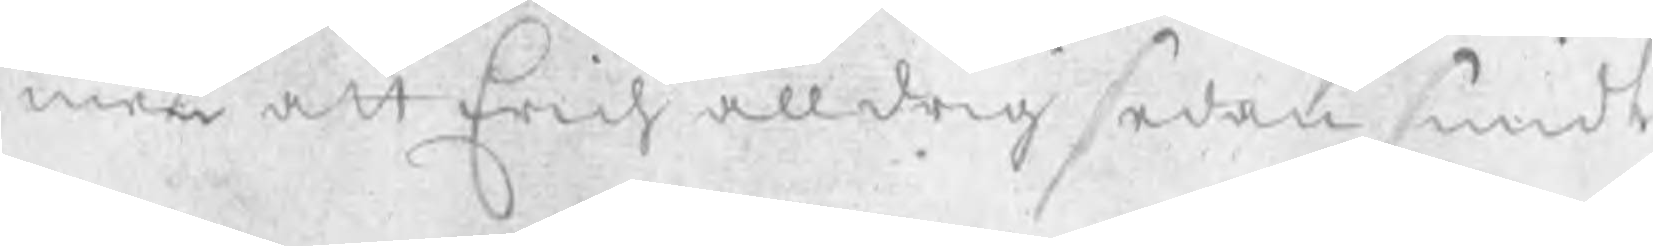men att Erich alldrig sedan smidt
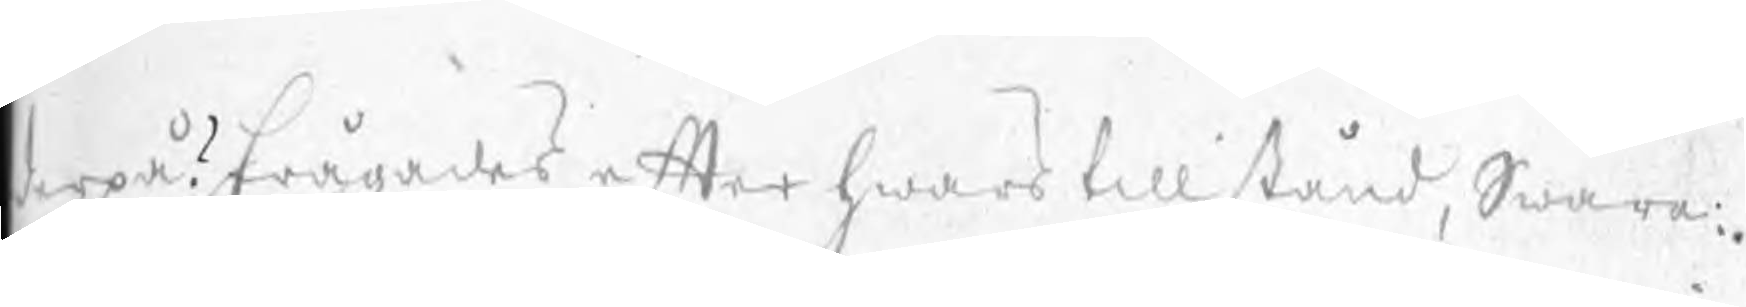derpå? frågades efter hwars tillstånd, Swara¬
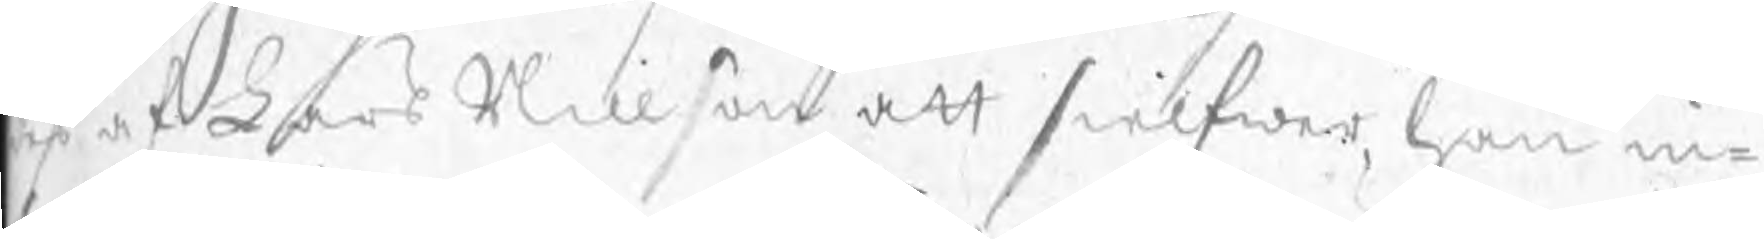des af Lars Nillson att sielfwer, han in¬
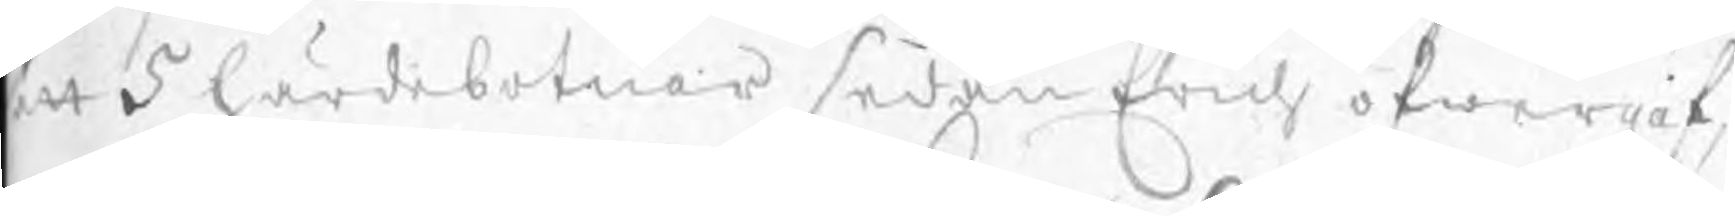att 5 härdesbotnar sedan Erich öfwergaf,
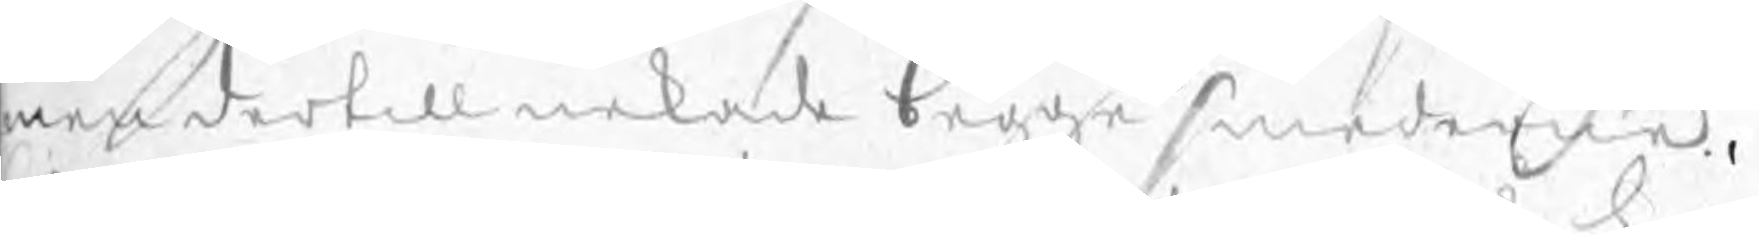men dertill nekade begge smederne.
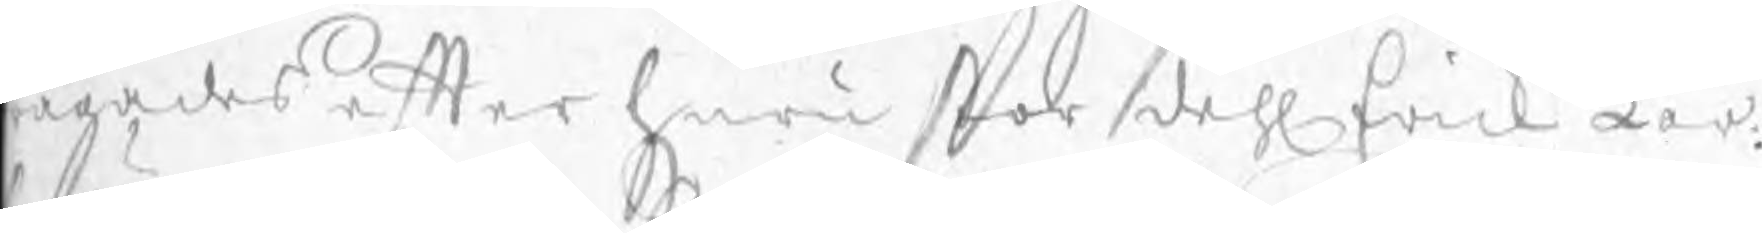rågades efter huru stor dehl Erich Lar¬
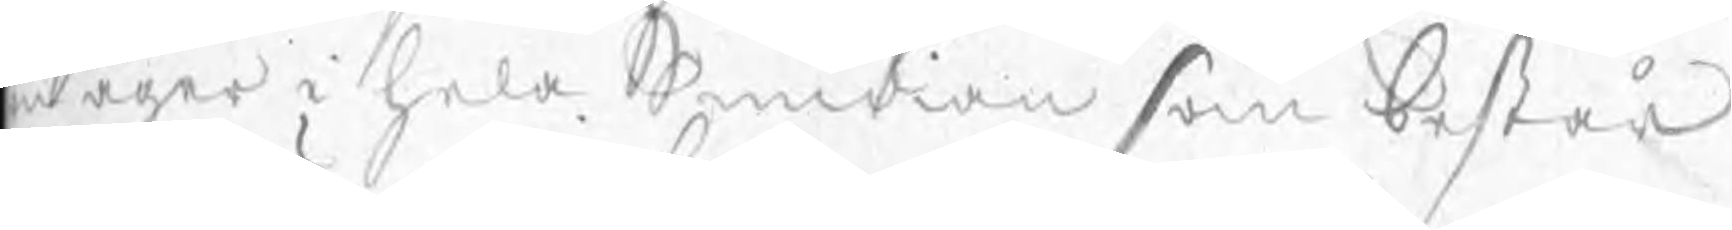n äger i hela Smidian som består
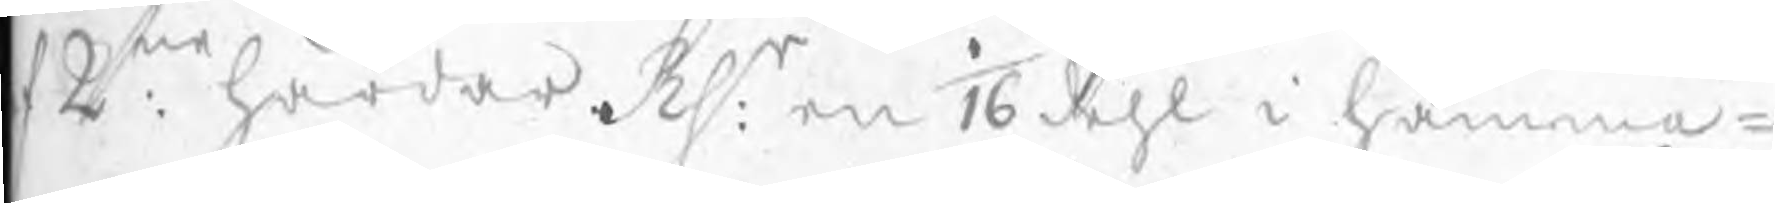f 2ne härdar. Rsr: en 1/16 dehl i hamma¬
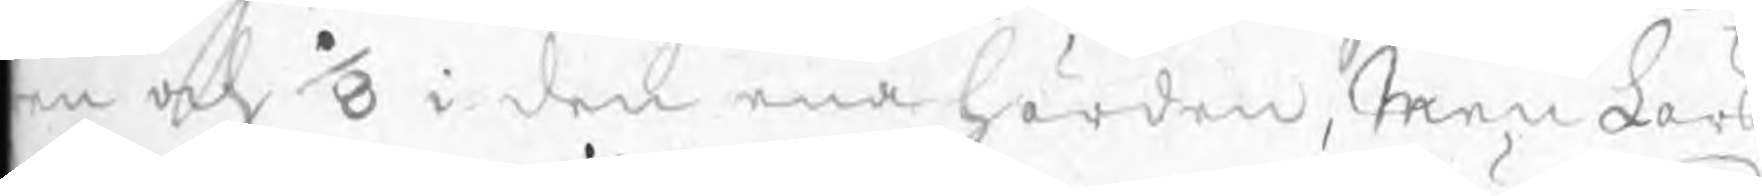en och 1/8 i den ena härden, Men Lars
